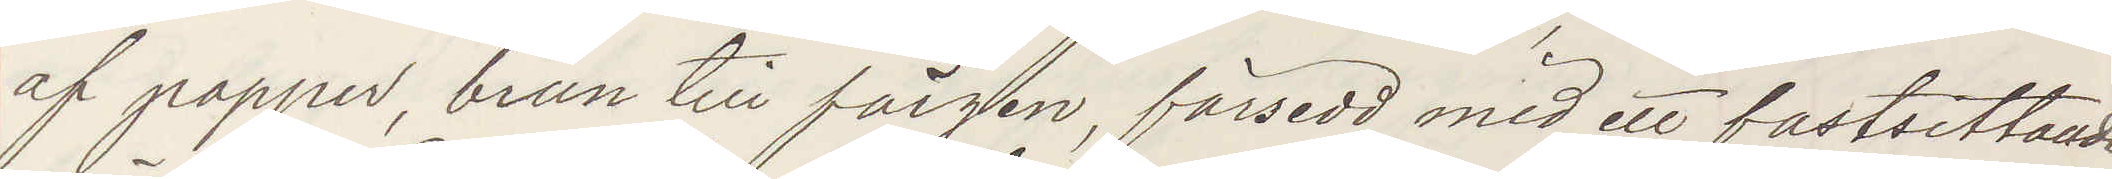af papper, brun till färgen, försedd med ett fastsittande
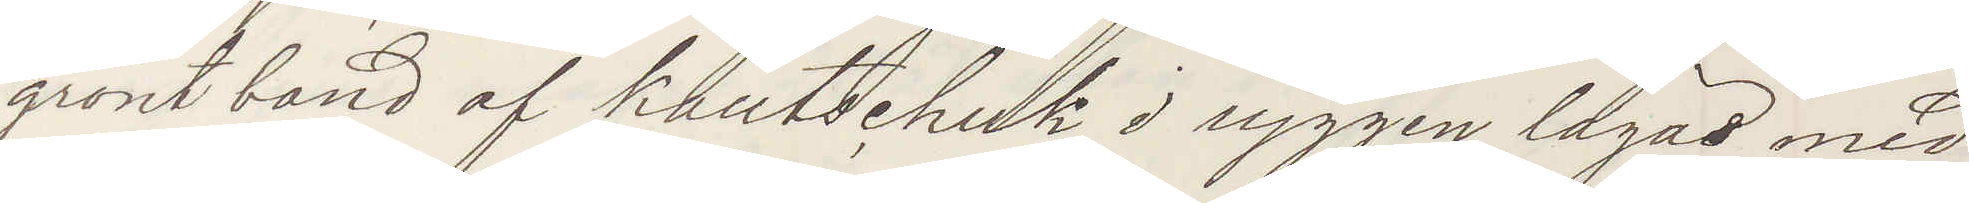grönt band af kautschuk, i ryggen lagad med
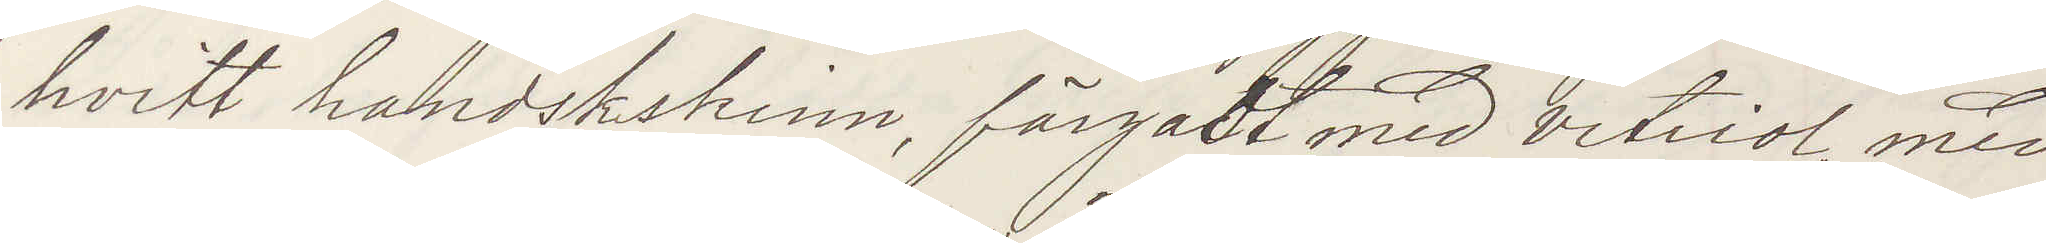hvitt handskskinn, färgadt med vitriol, med
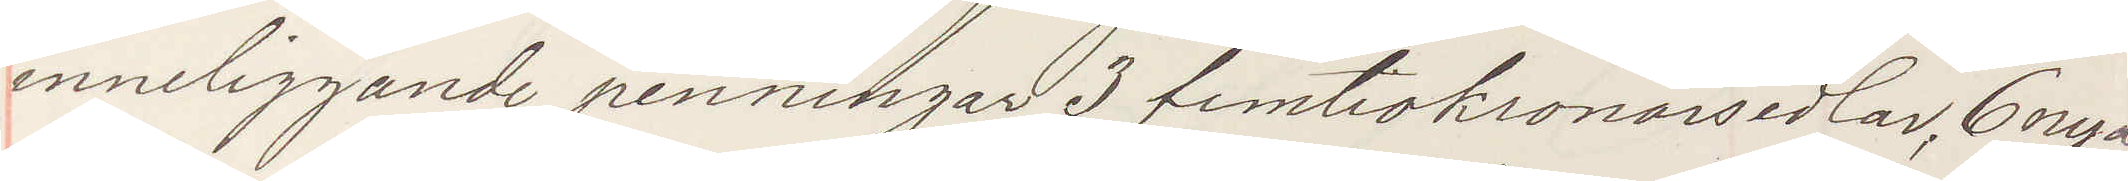inneliggande penningar 3 femtiokronorsedlar, 6 nya
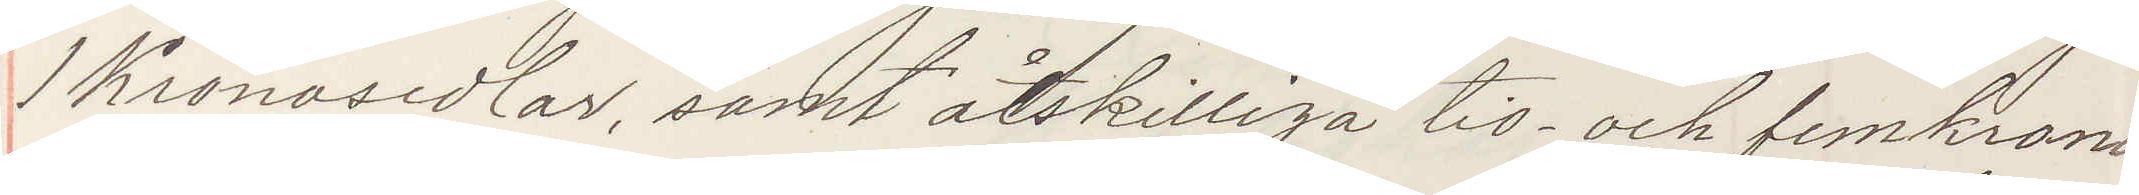1 Kronosedlar, samt åtskilliga tio- och fem krono¬
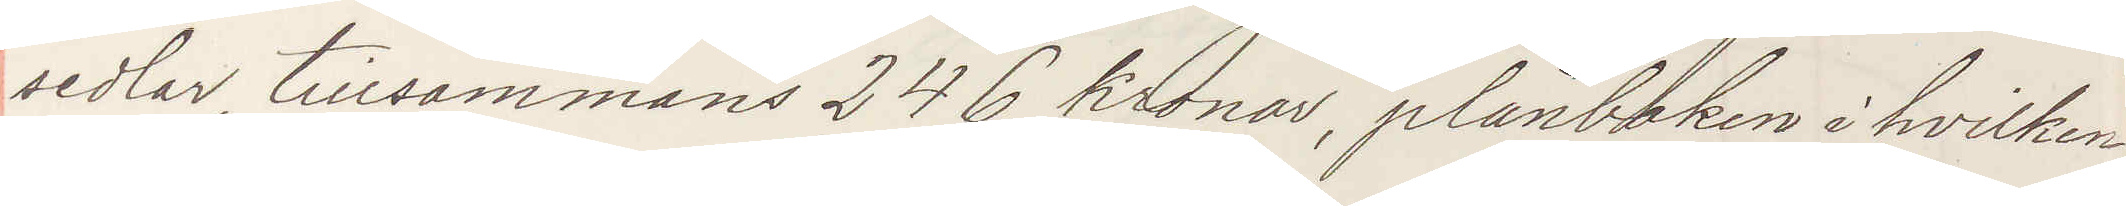sedlar, tillsammans 246 kronor, plånboken i hvilken
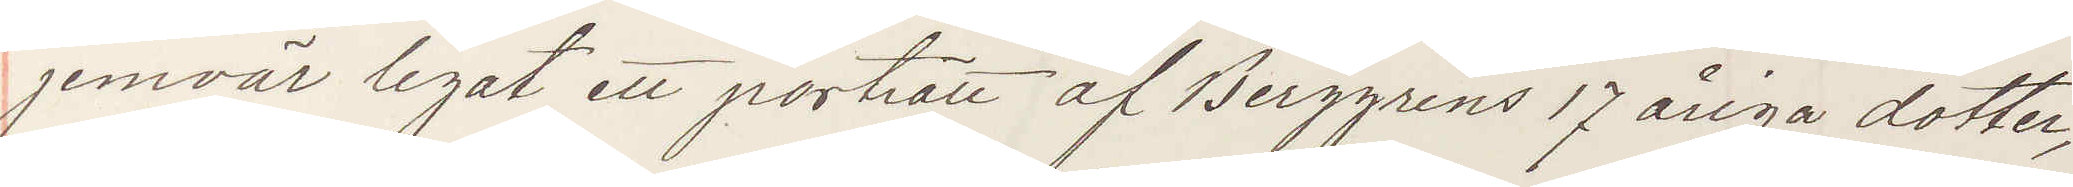jemväl legat ett porträtt af Berggrens 17 åriga dotter,
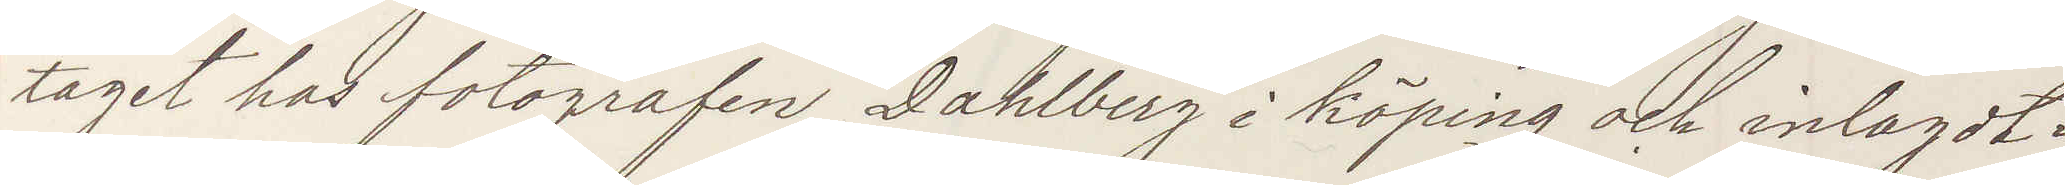taget hos fotografen Dahlberg i Köping och inlagdt i
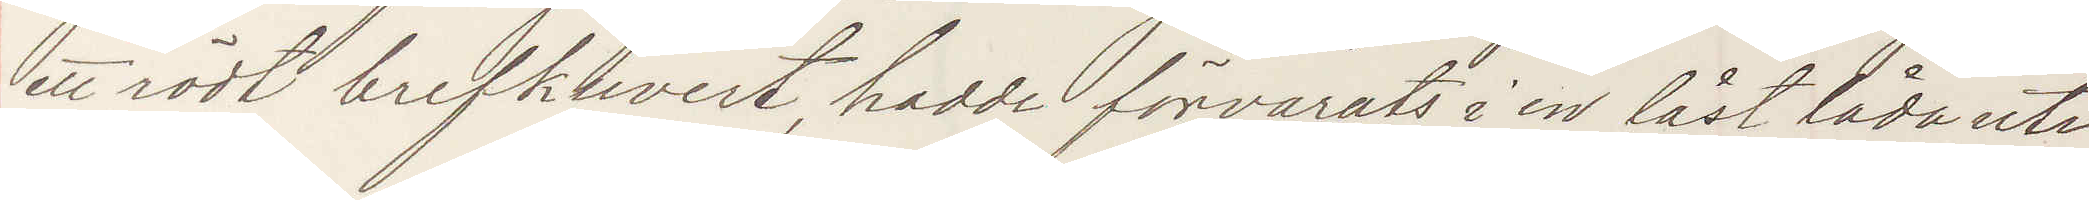ett rödt brefkuvert, hadde förvarats i en låst låda uti
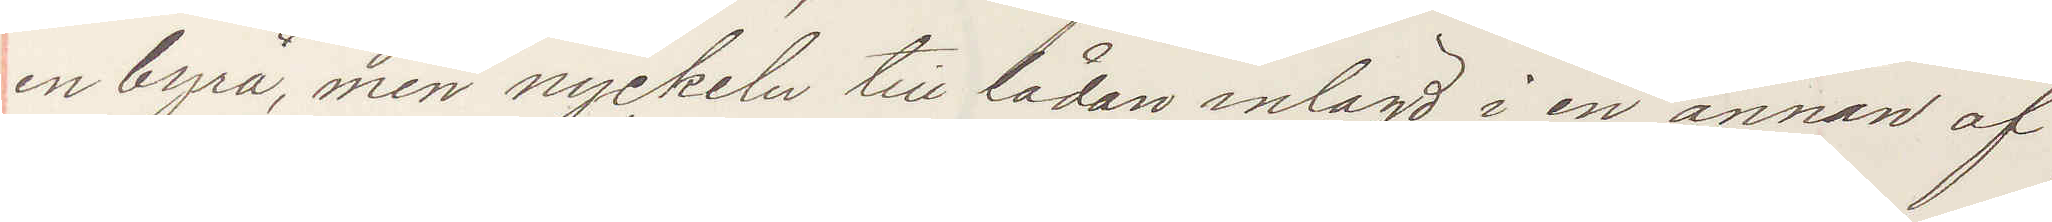en byrå, men nyckeln till lådan inlagd i en annan af
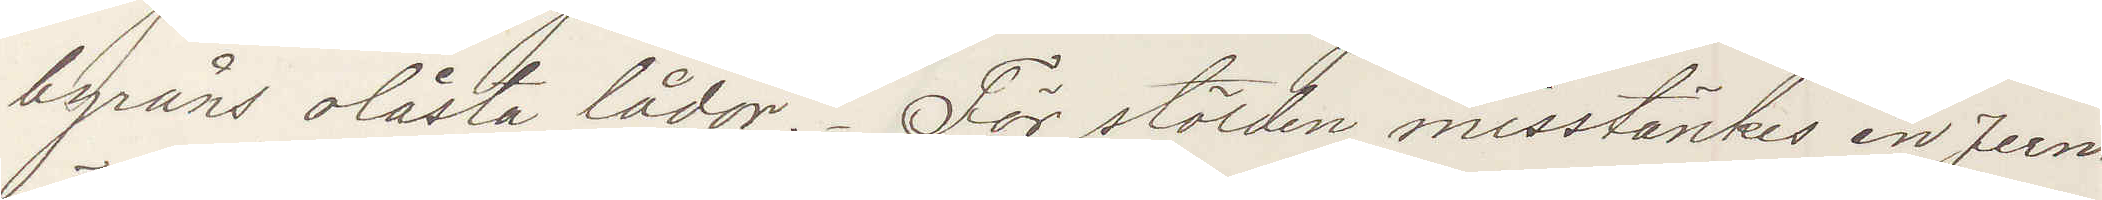byråns olåsta lådor. För stölden misstänkes en Jern¬
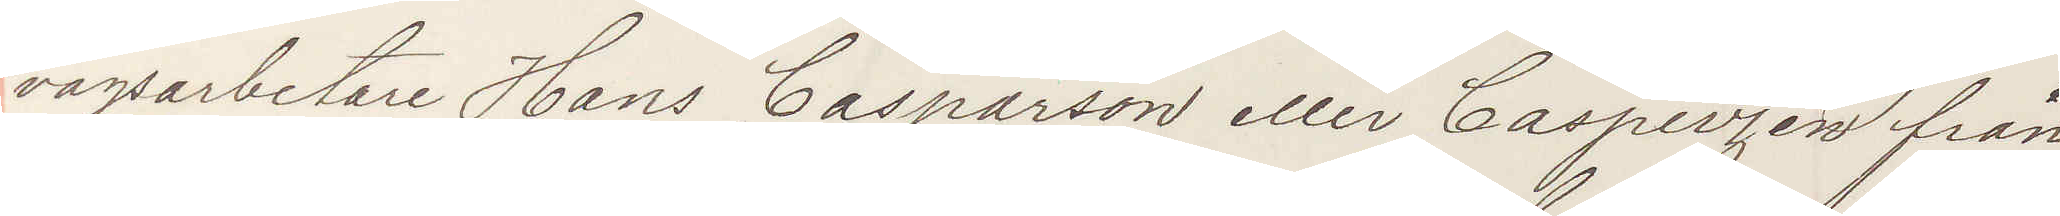vägsarbetare Hans Casparson eller Casperzen från
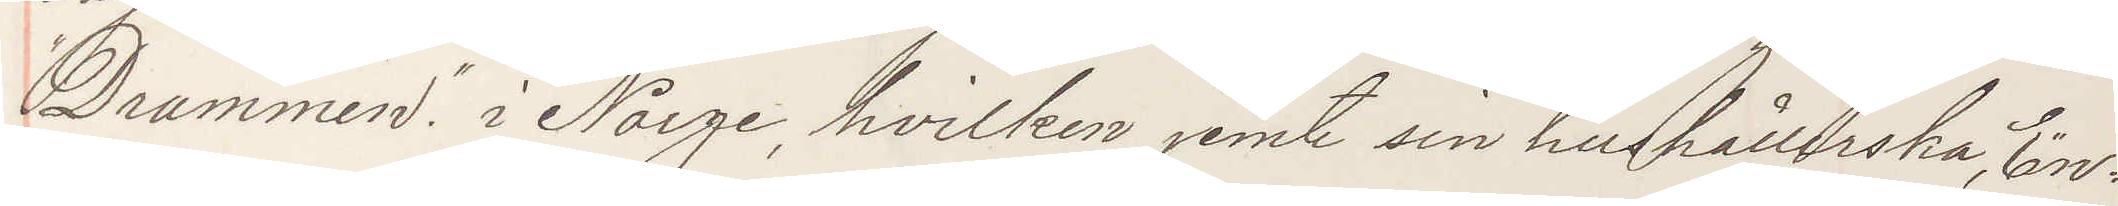"Drammen" i Norge, hvilken jemte sin hushållerska, En¬
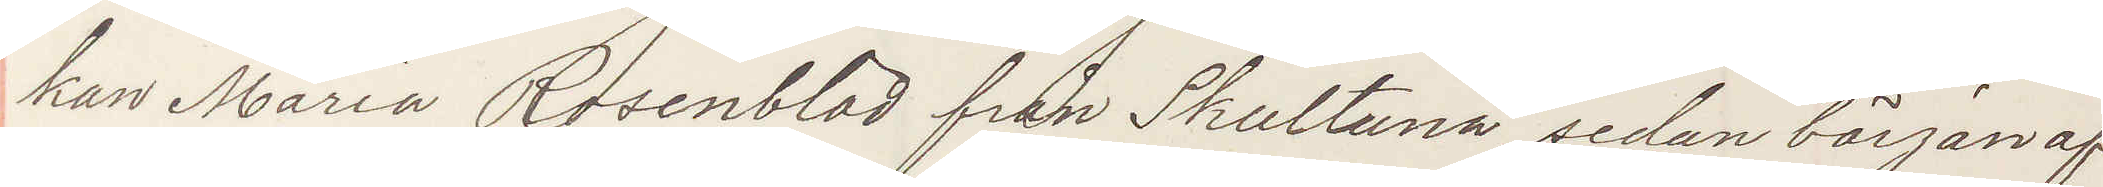kan Maria Rosenblad från Skultuna, sedan början af
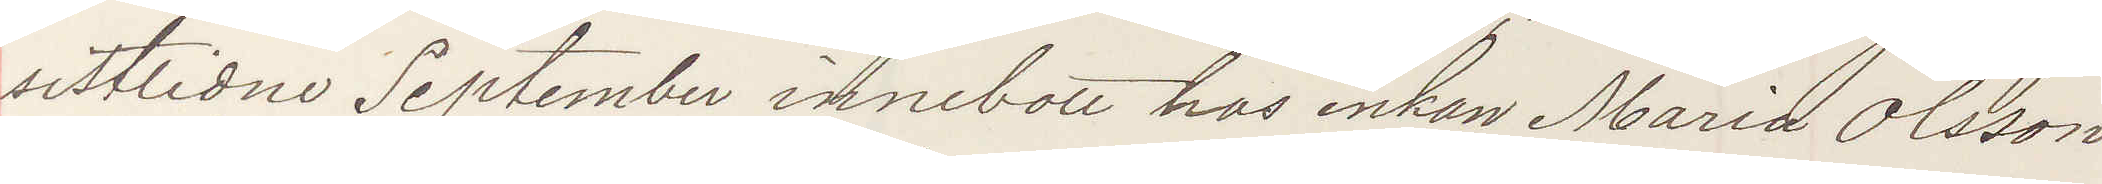sistlidne September innebott hos enkan Maria Olsson
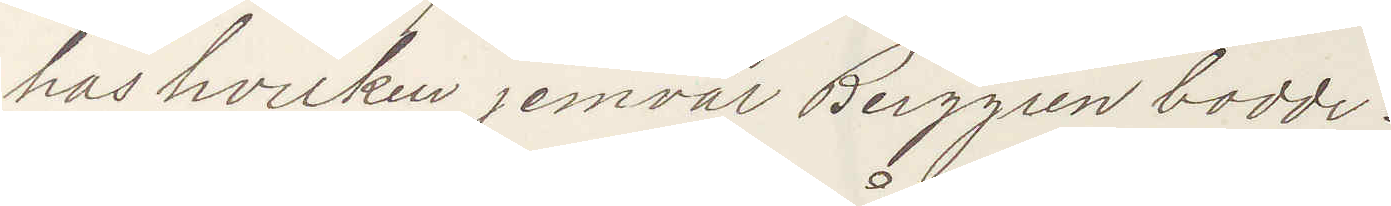hos hvilken jemväl Berggren bodde.
